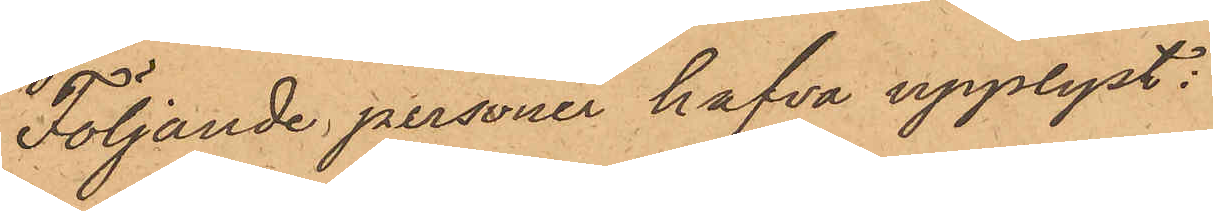Följande personer hafva upplyst:
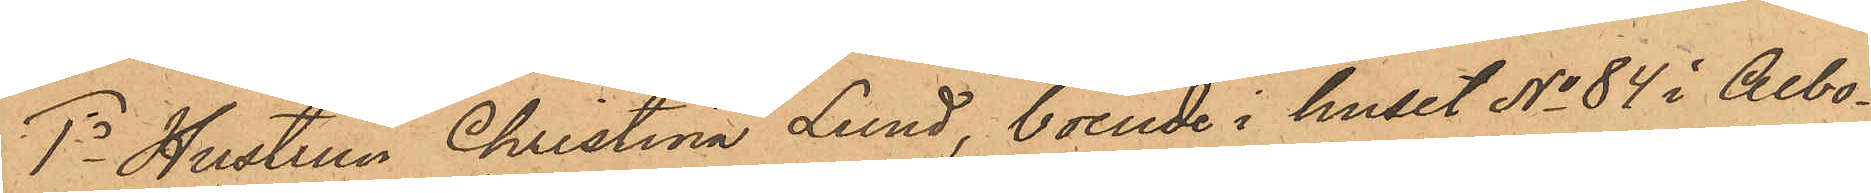1o Hustrun Christina Lund, boende i huset No 84 i Albo¬
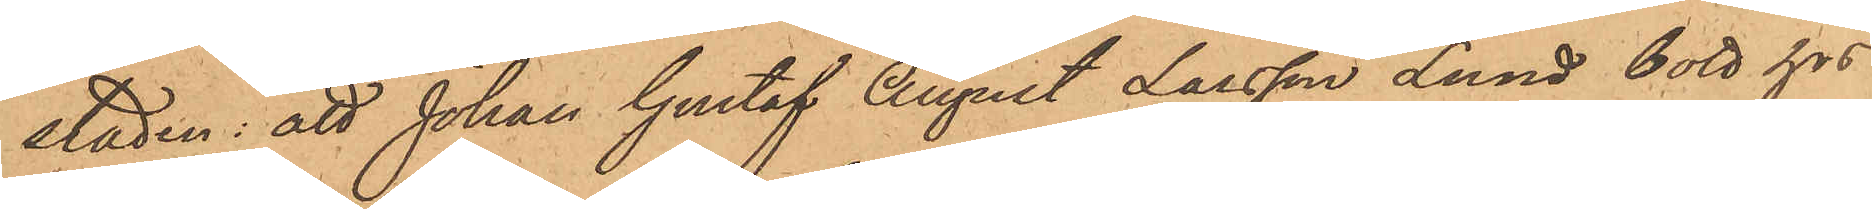staden; att Johan Gustaf August Larsson Lund bott hos
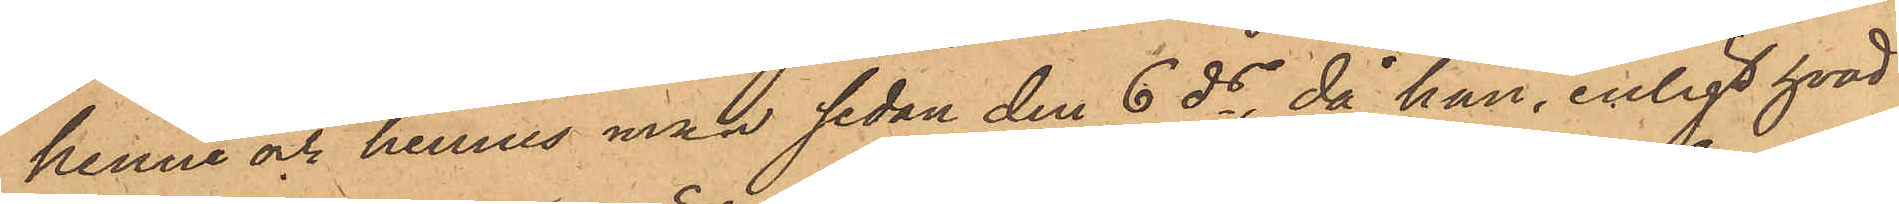henne och hennes man sedan den 6 ds, då han, enligt hvad
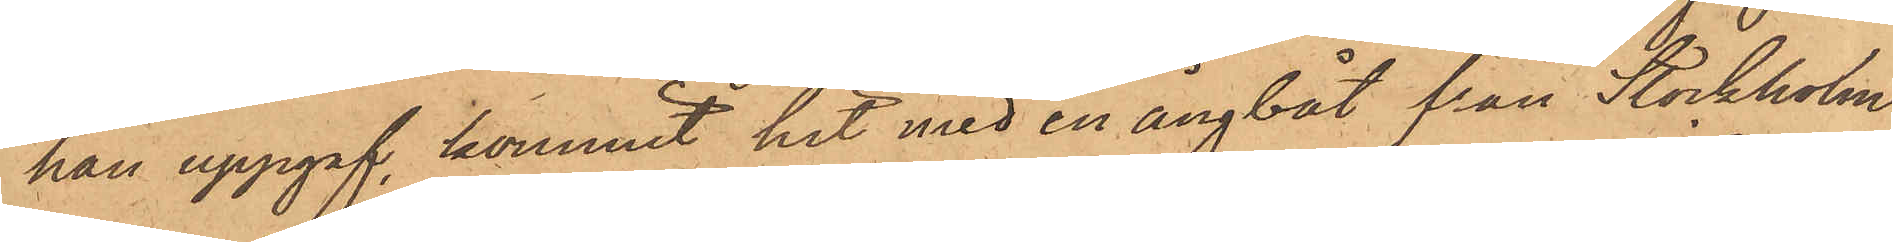han uppgaf, kommit hit med en ångbåt från Stockholm
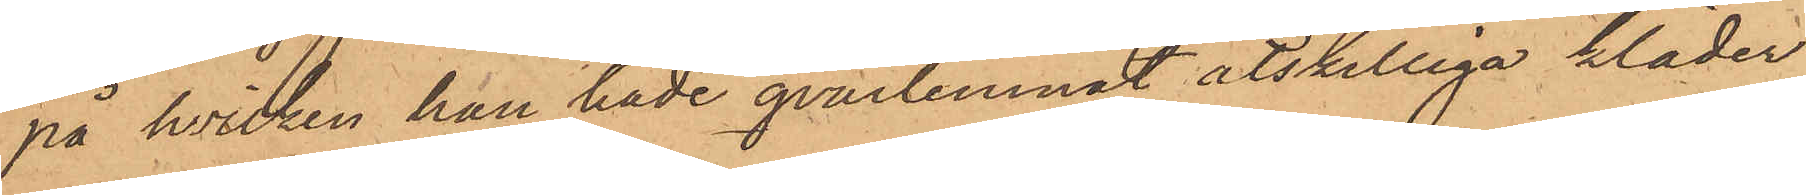på hvilken han hade qvarlemnat åtskilliga kläder
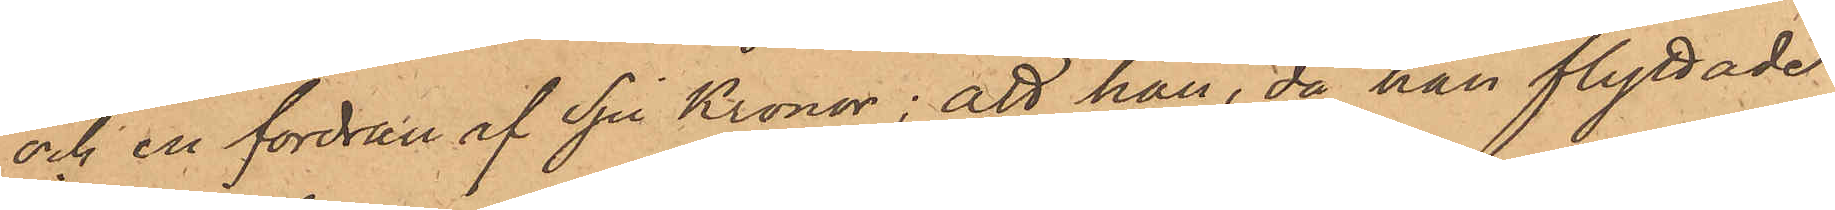och en fordran af Sju Kronor; att han, då han flyttade
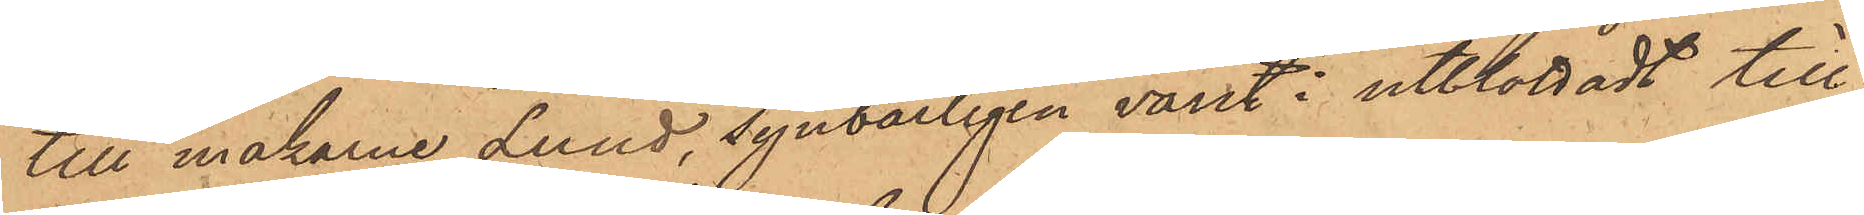till makarne Lund, synbärligen varit i utblottadt till¬
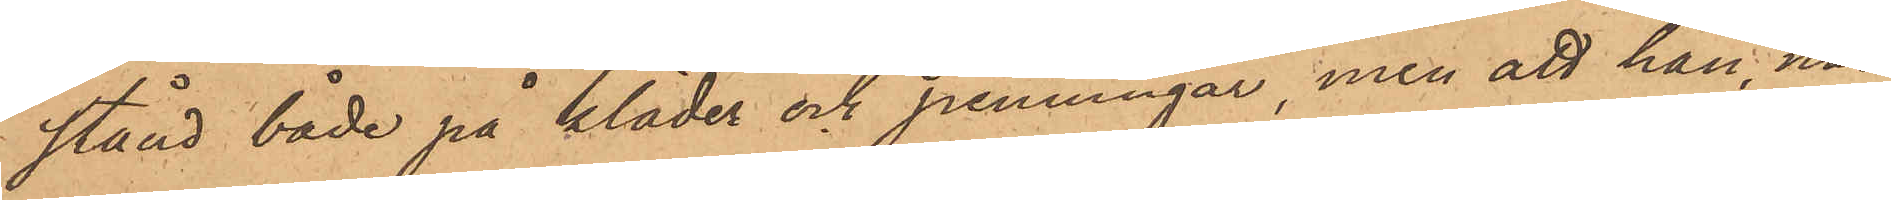stånd både på kläder och penningar, men att han, när
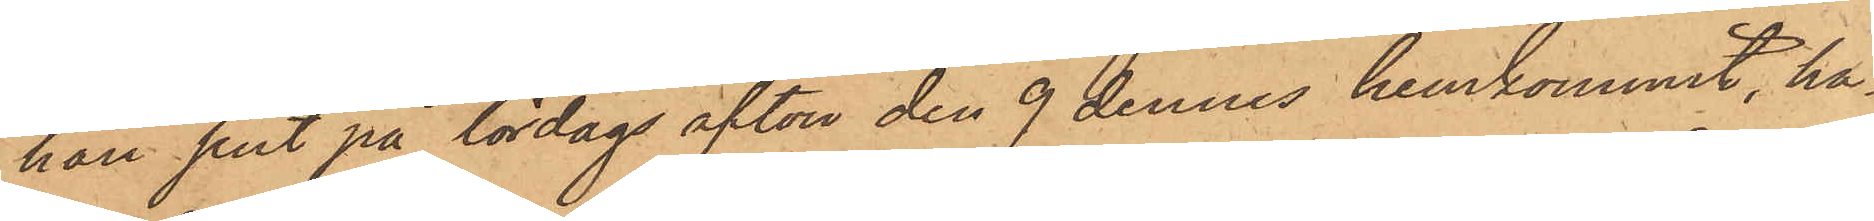han sent på lördags afton den 9 dennes hemkommit, ha¬
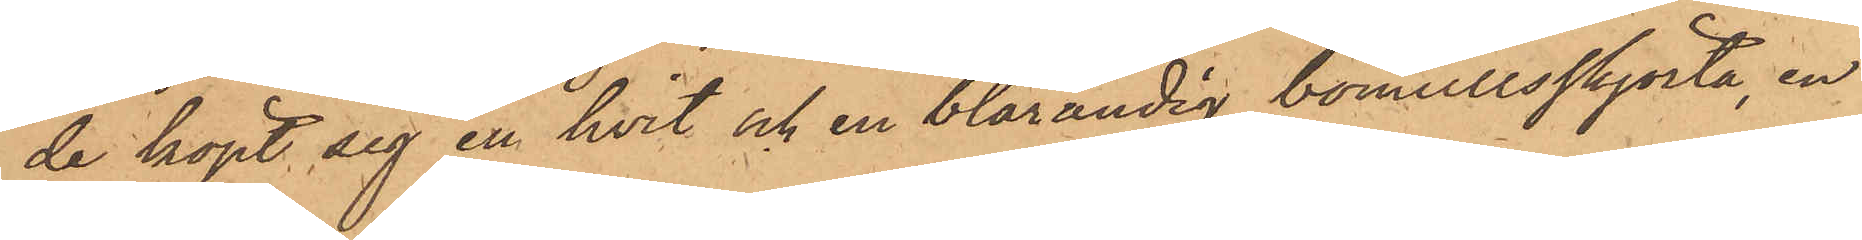de köpt sig en hvit och en blårandig bomullsskjorta, en
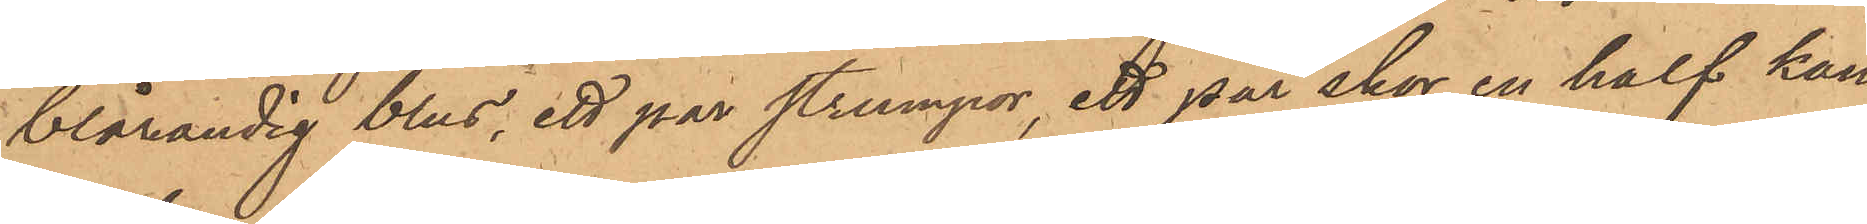blårandig blus, ett par strumpor, ett par skor en half kan¬
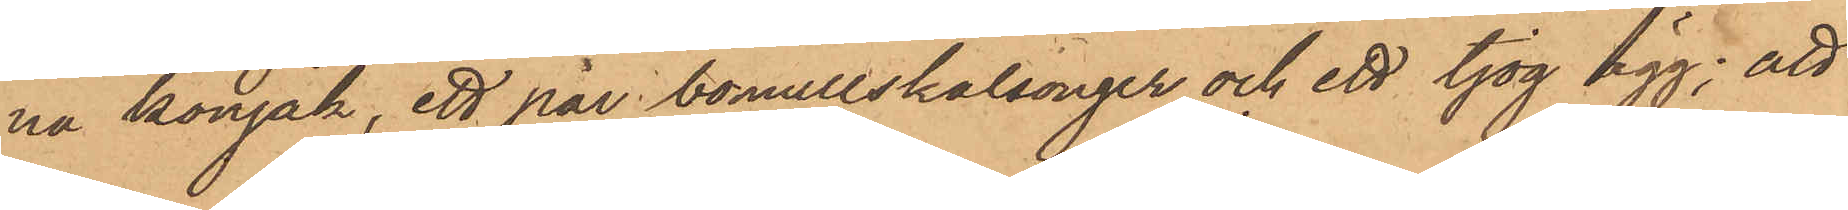na konjak, ett par bomullskalsonger och ett tjog ägg; att
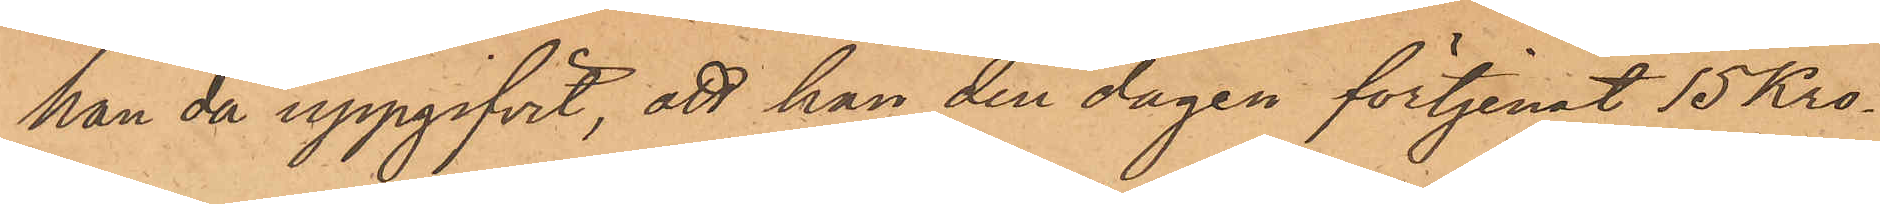han då uppgifvit, att han den dagen förtjenat 15 Kro¬
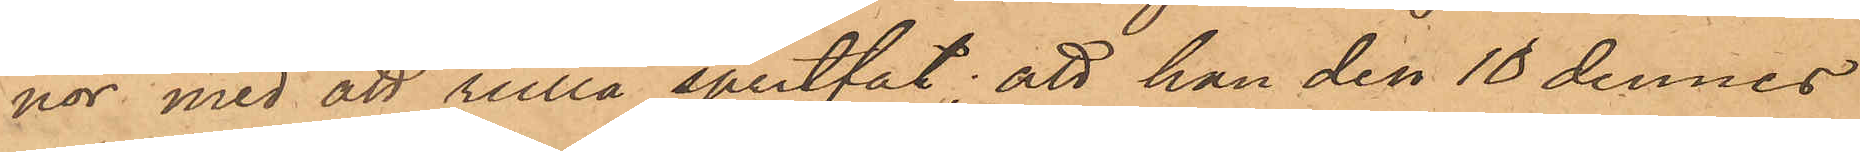nor med att rulla spritfat; att han den 10 dennes
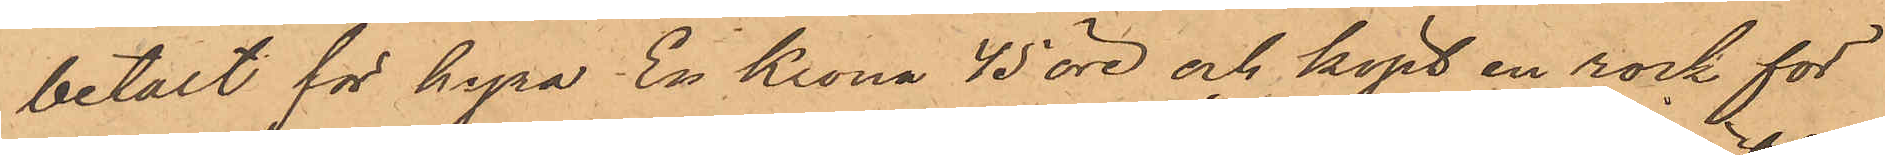betalt för hyra En Krona 45 öre och köpt en rock för
